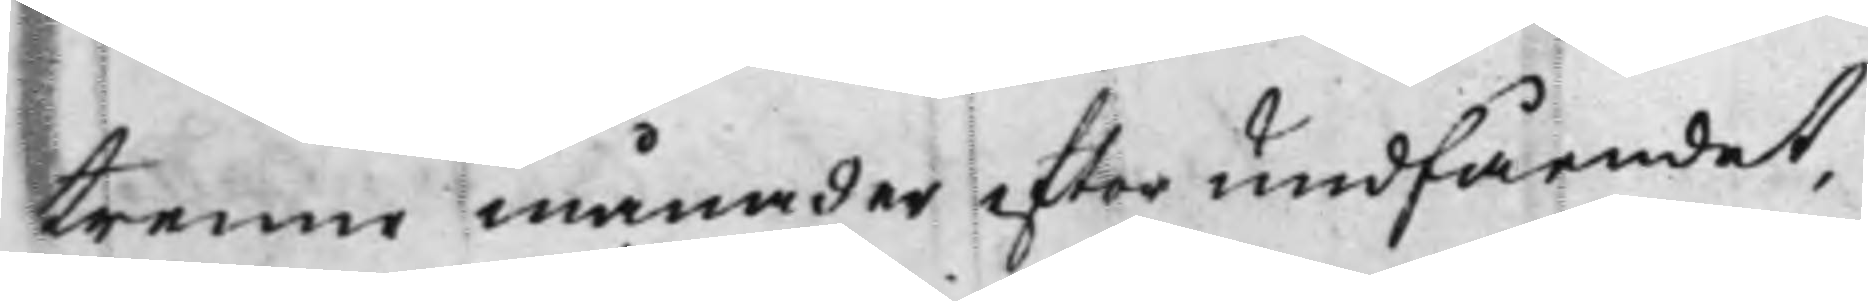trenne månader efter undfåendet,
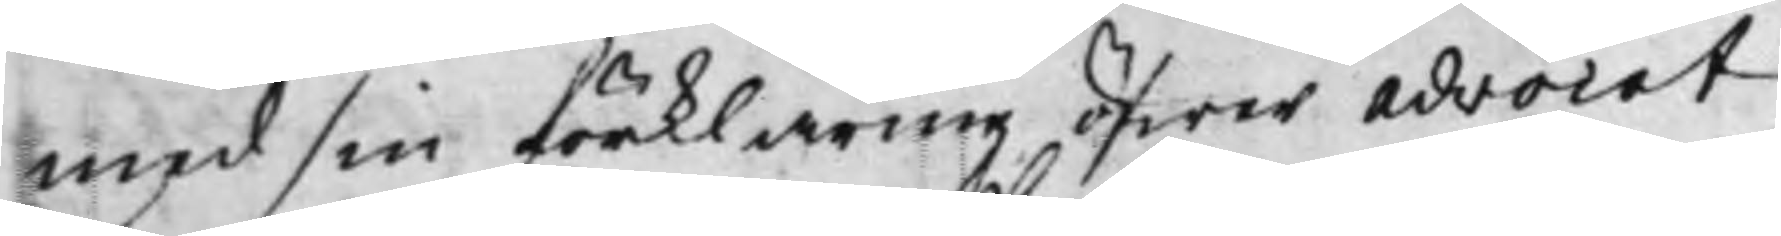med sin förklaring öfwer Advocat
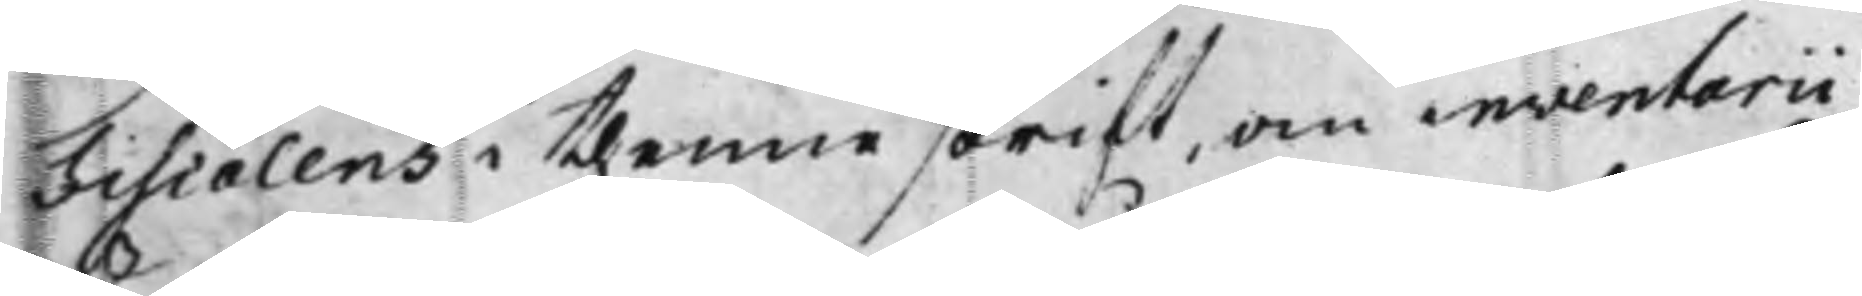Fiscalens i thenne skrift, om inventarii
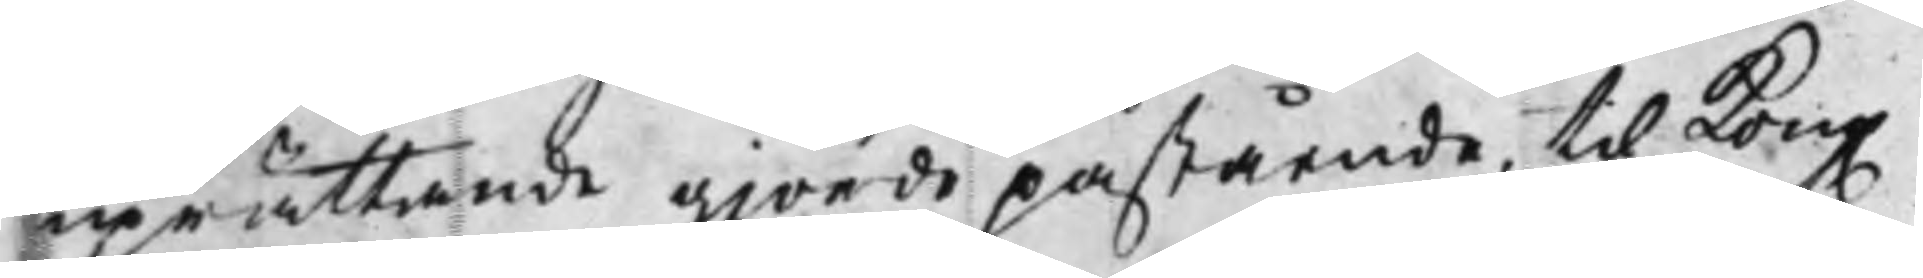uprättande giorde påstående, til Kong. 
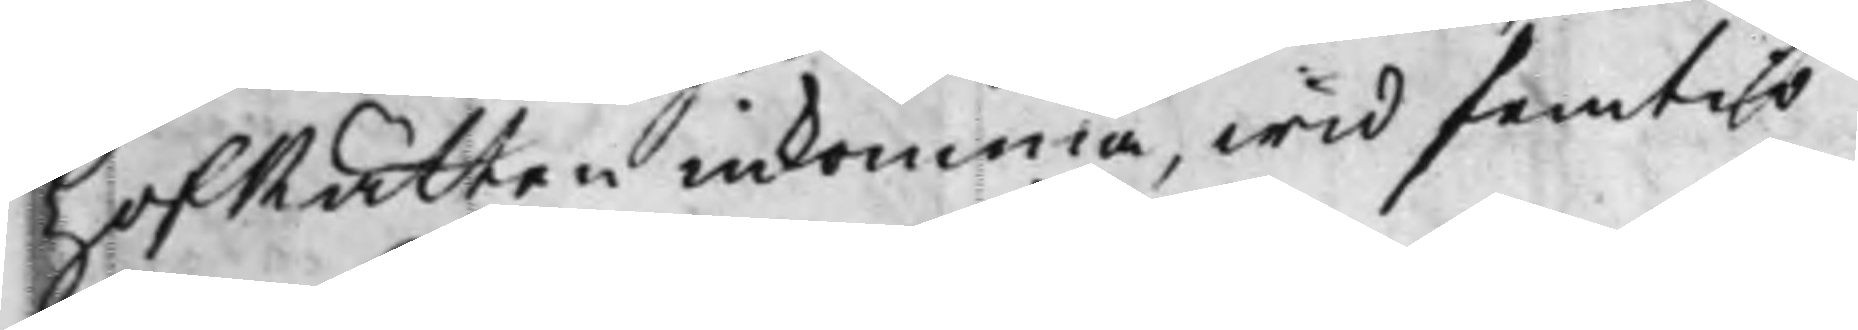HofRätten inkomma, wid femtio
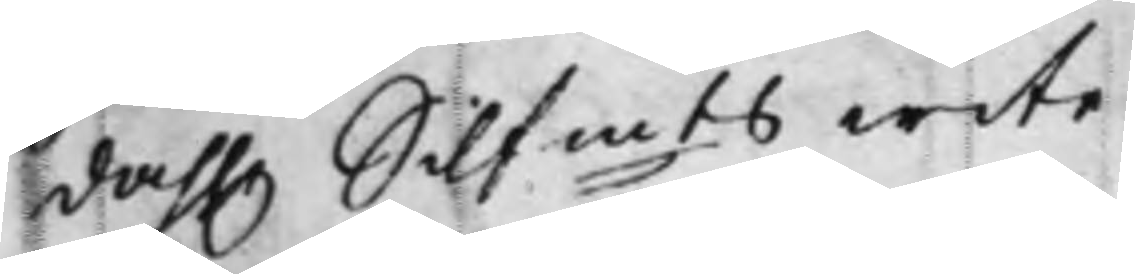dah. Silfmts wite. 
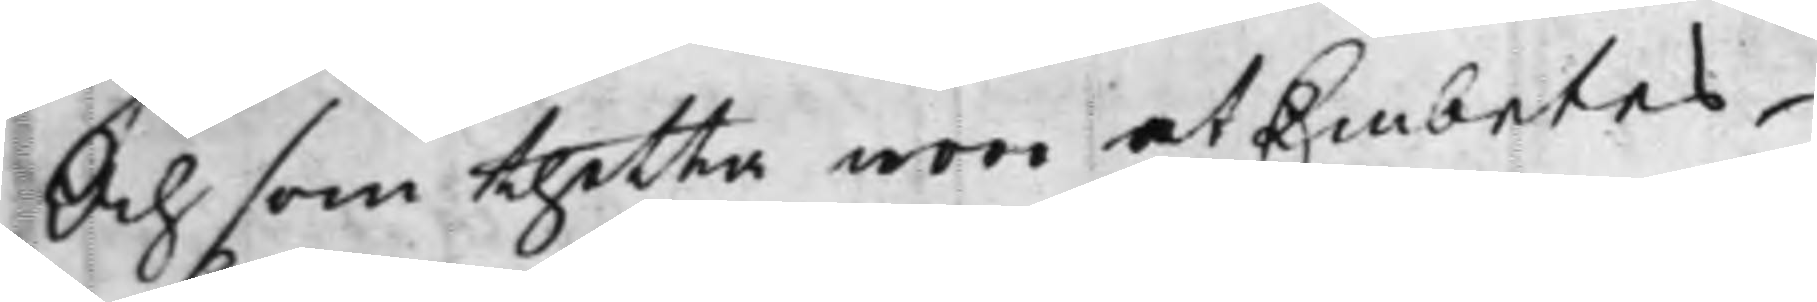Och som thetta woro et Embetes¬
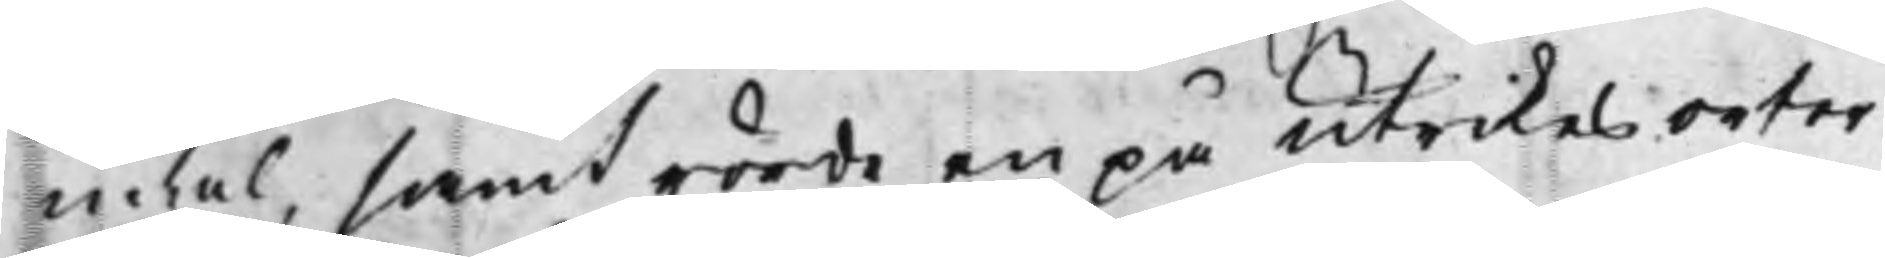mål, samt rörde en på utrikes orter¬
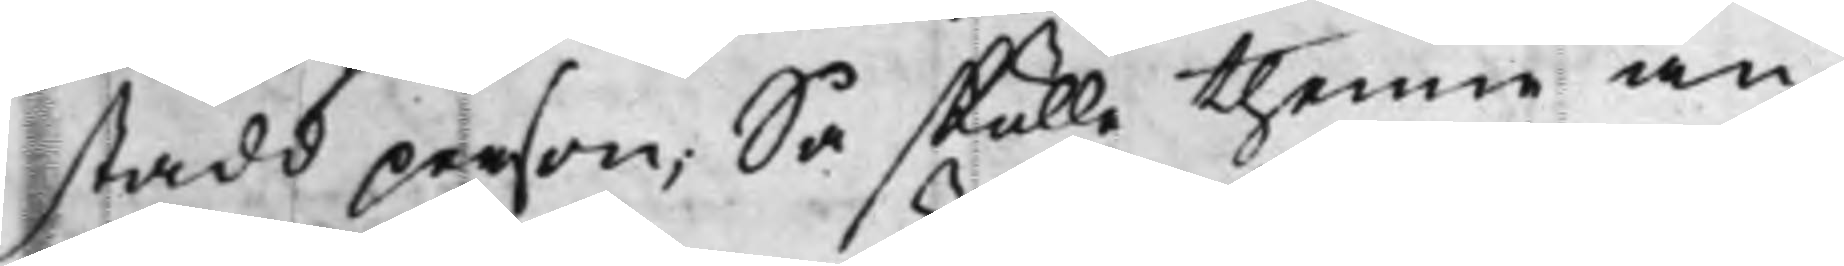stadd person; Så skulle thenne an¬
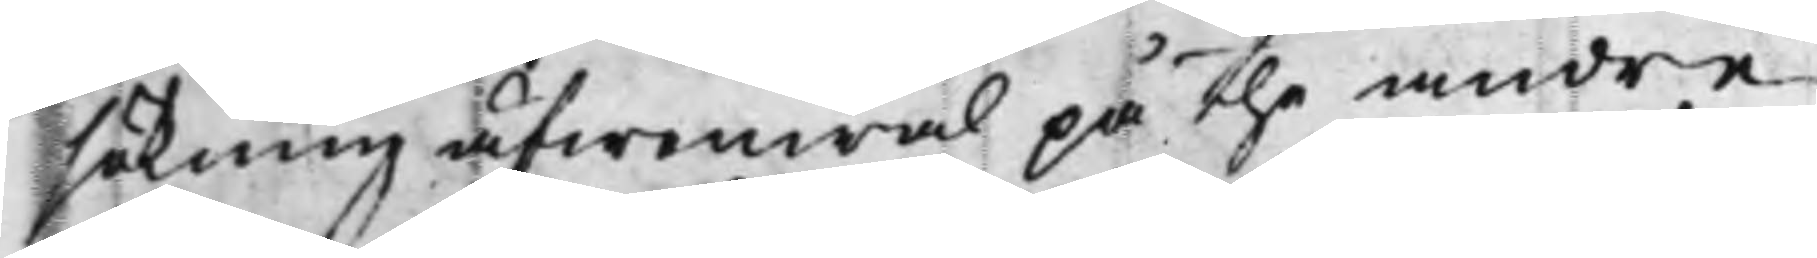sökning äfwenwäl, the andre
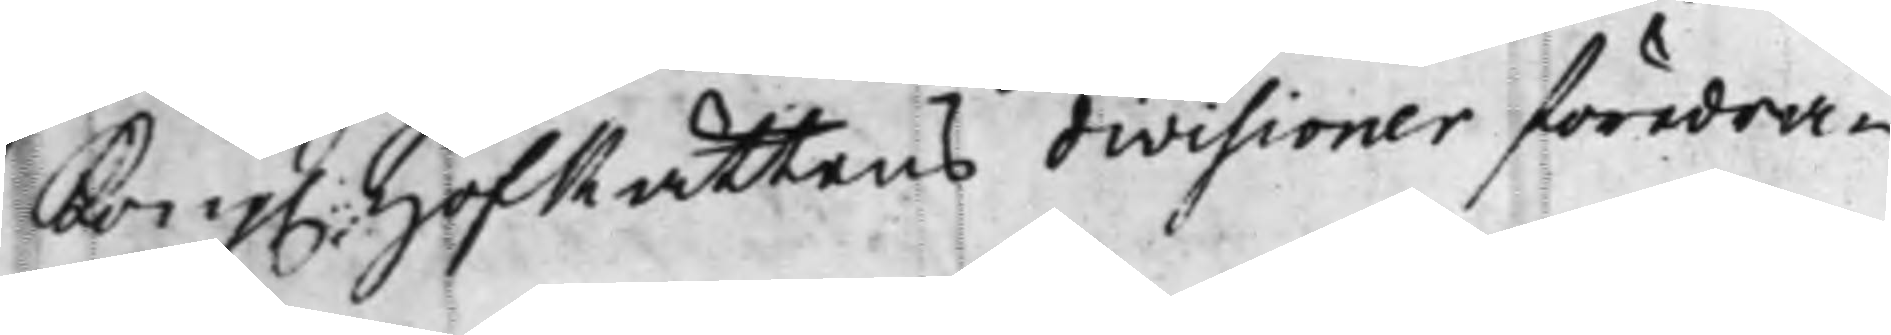Kong. HofRättens divisioner föredra¬ 
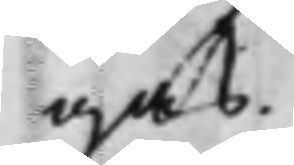gas.
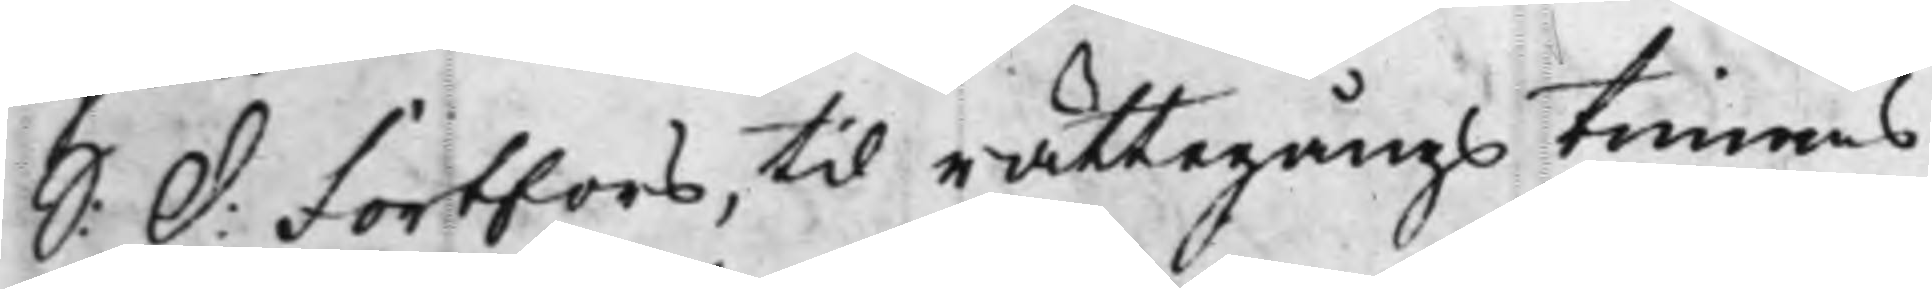S: d: Fortfors, til rättegångs timens 
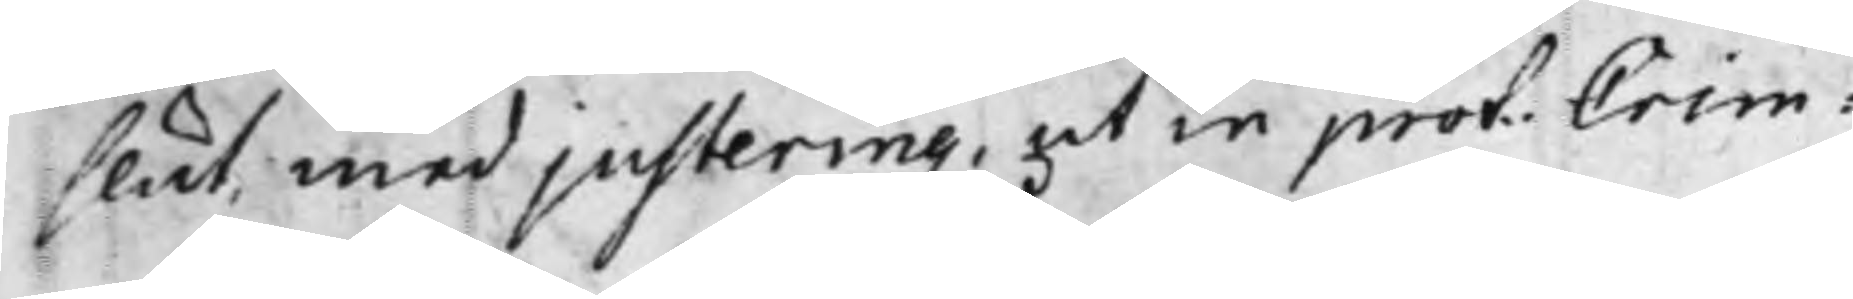slut, med justering, ut in prot. Crim: 
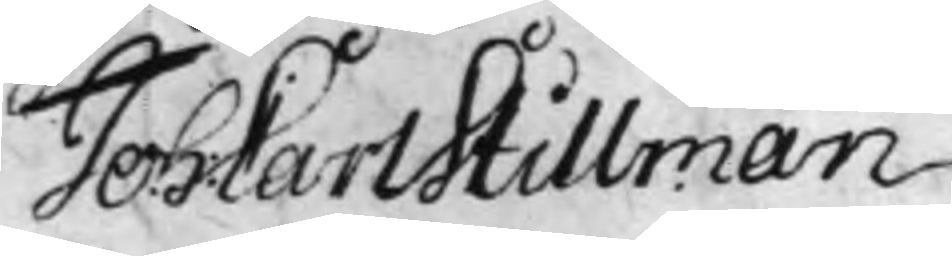Joh: Carl Stillman
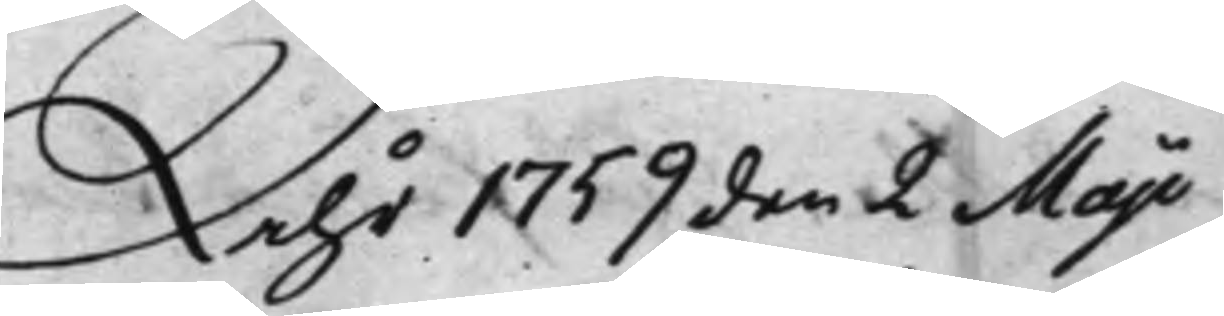Åhr 1759 den 2 Maji.
